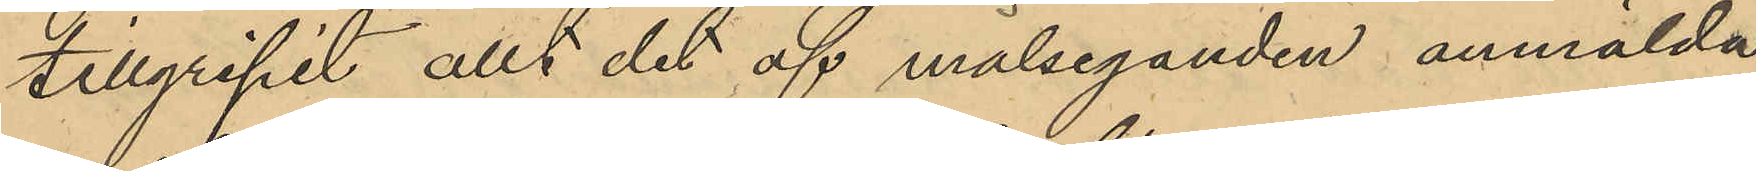tillgripit allt det af målseganden anmälda
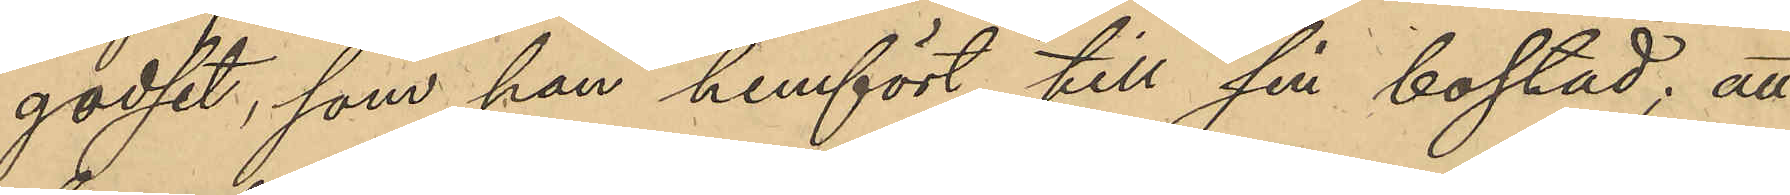godset, som han hemfört till sin bostad; att
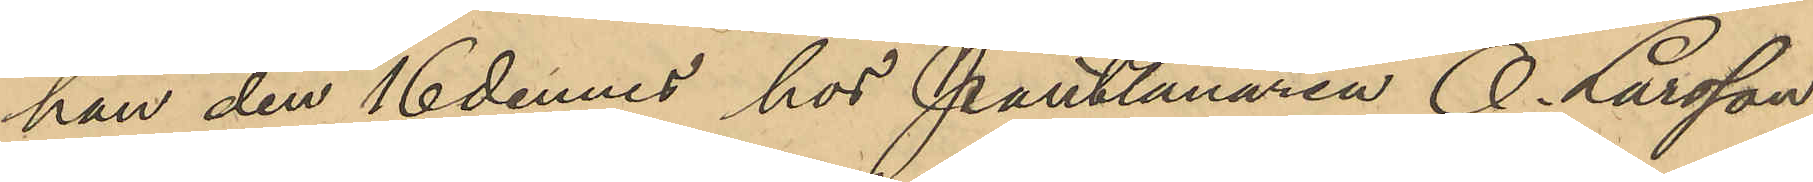han den 16 dennes hos Pantlånaren O. Larsson
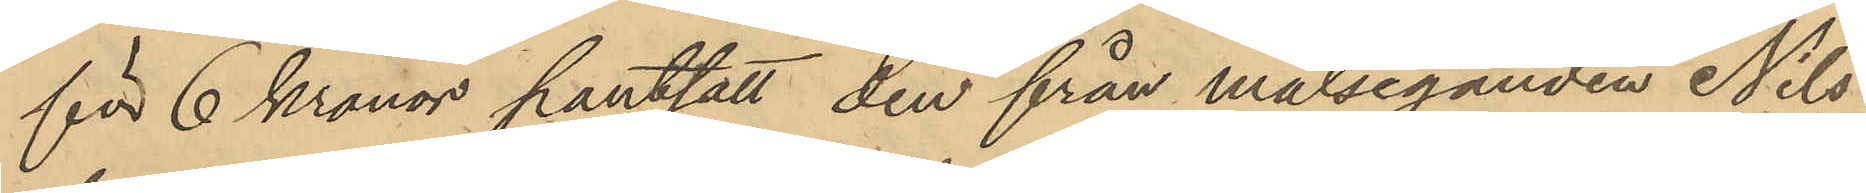för 6 kronor pantsatt den från målseganden Nils¬
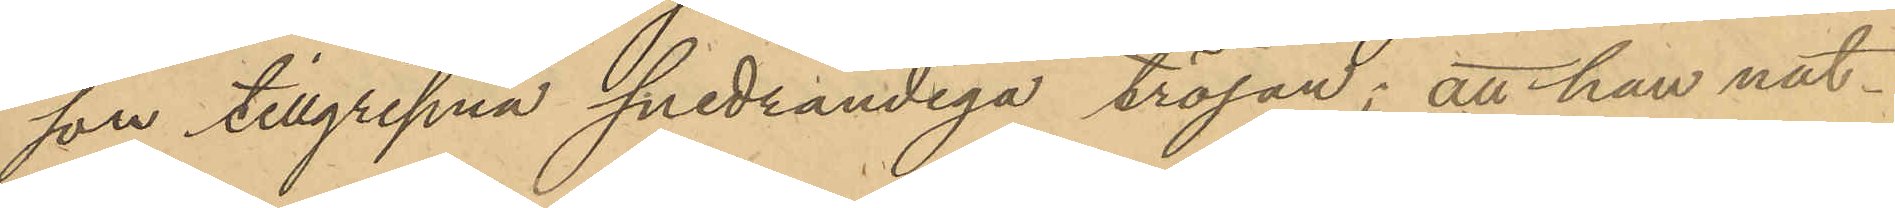son tillgripna snedrandiga tröjan; att han nat¬
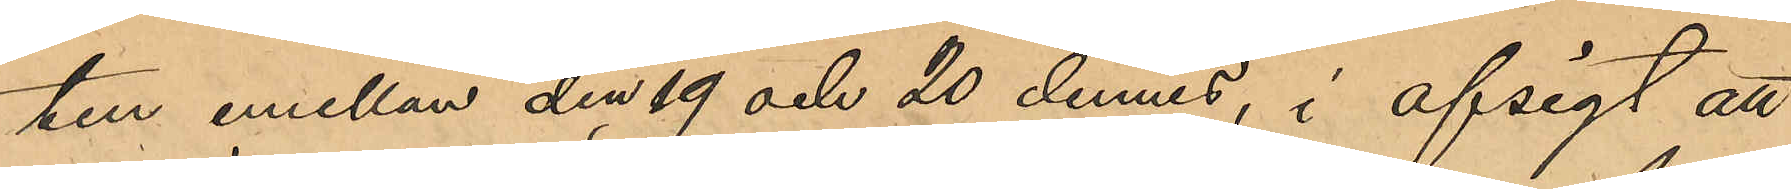ten emellan den 19 och 20 dennes, i afsigt att
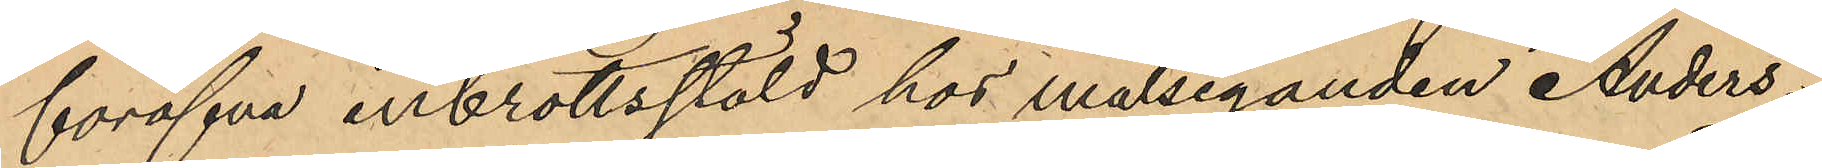föröfva inbrottsstöld hos målseganden Anders¬
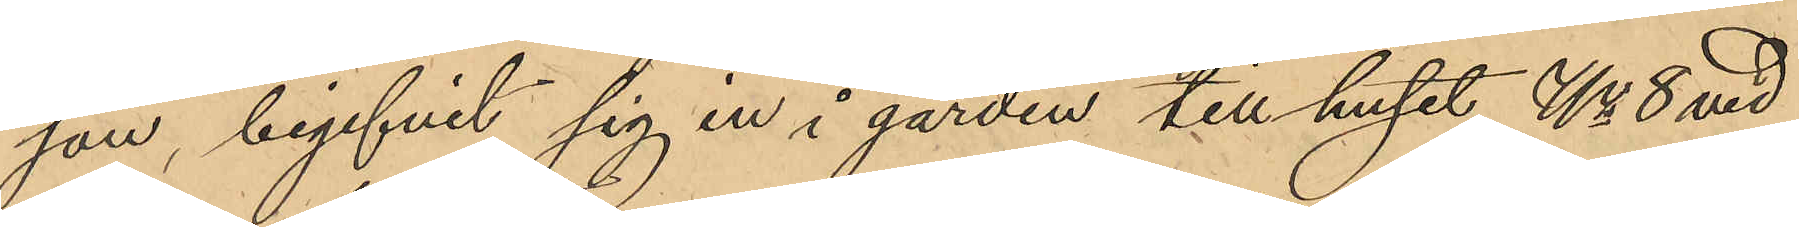son, begifvit sig in i gården till huset No 8 vid
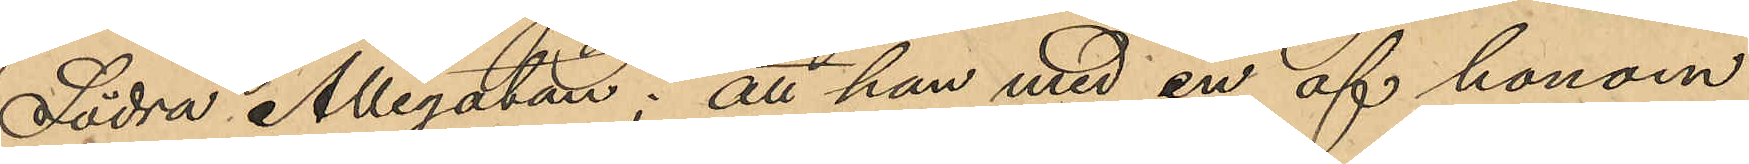Södra Allégatan; att han med en af honom
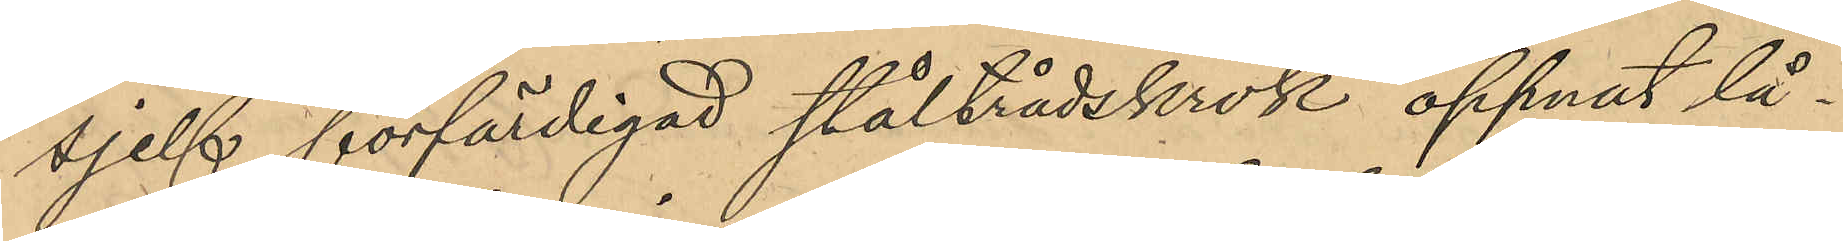sjelf förfärdigad ståltrådskrok öppnat lå¬
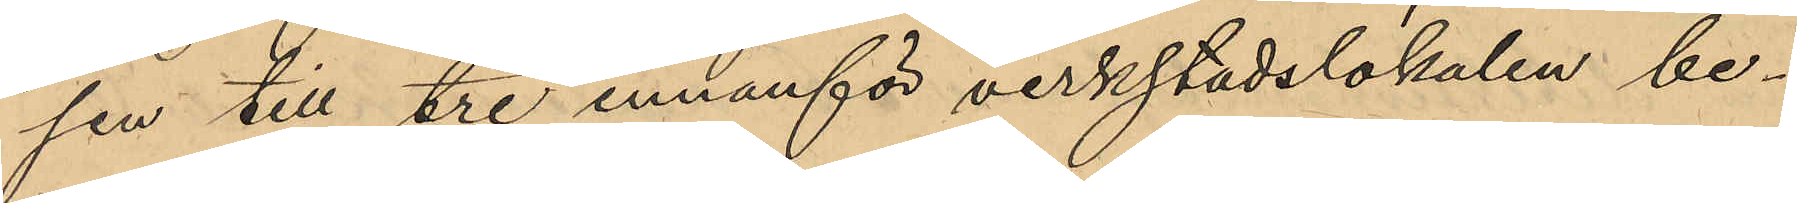sen till tre innanför verkstadslokalen be¬
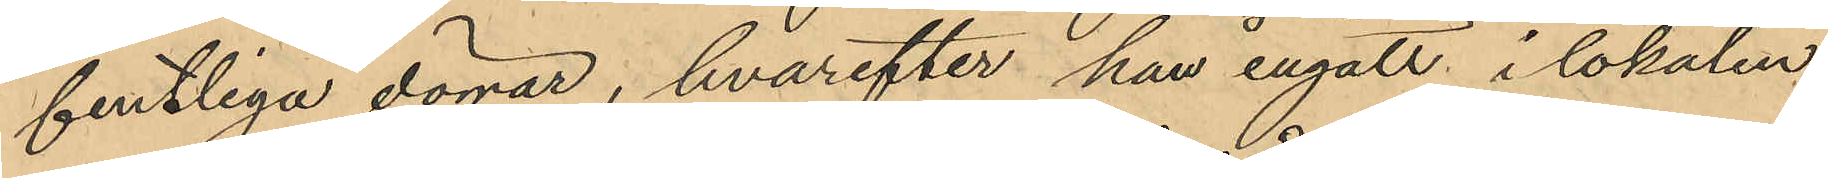fintliga dörrar, hvarefter han ingått i lokalen
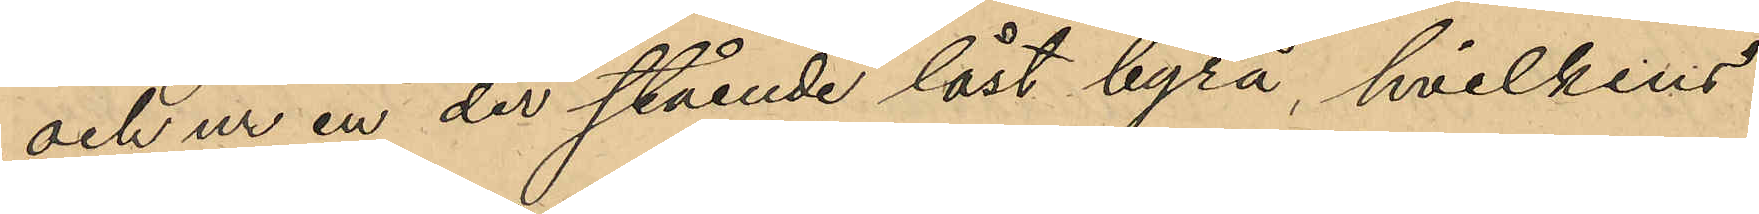och ur en der stående låst byrå, hvilkens
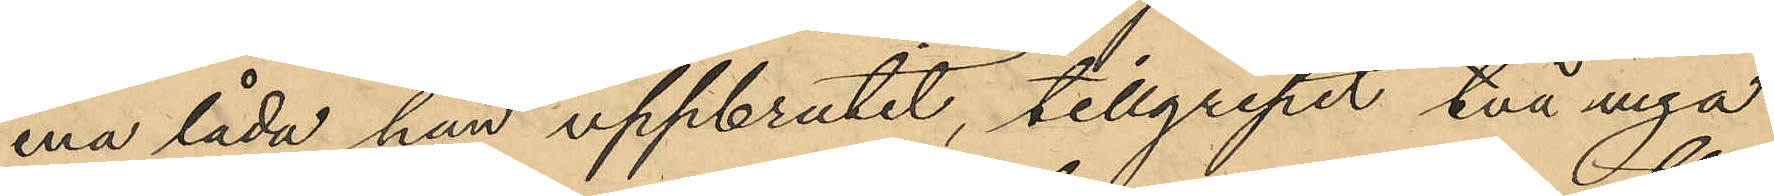ena låda han uppbrutit, tillgripit två nya
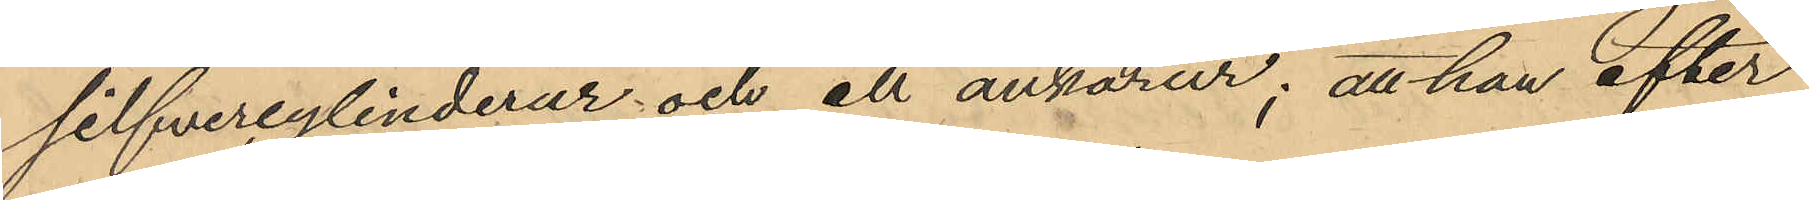silfvercylinderur och ett ankarur; att han efter
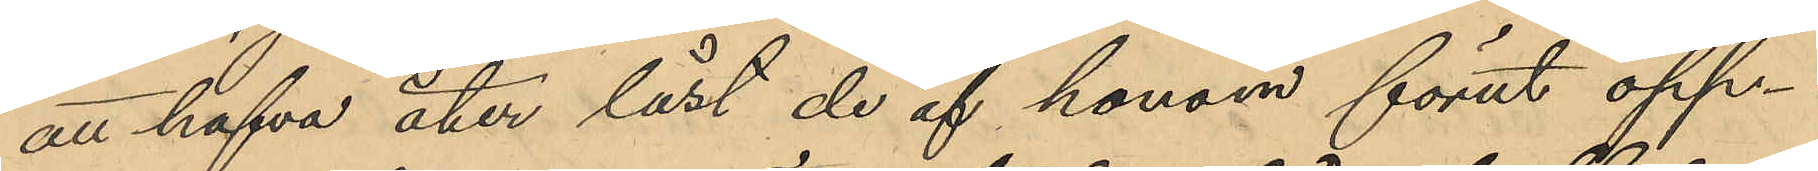att hafva åter låst de af honom förut öpp¬
